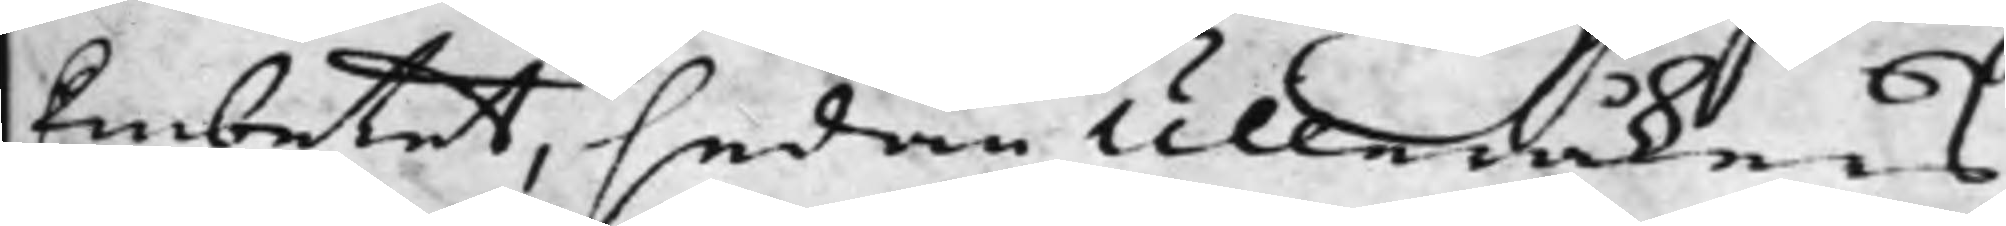Embetet, sedan Ulleråkers
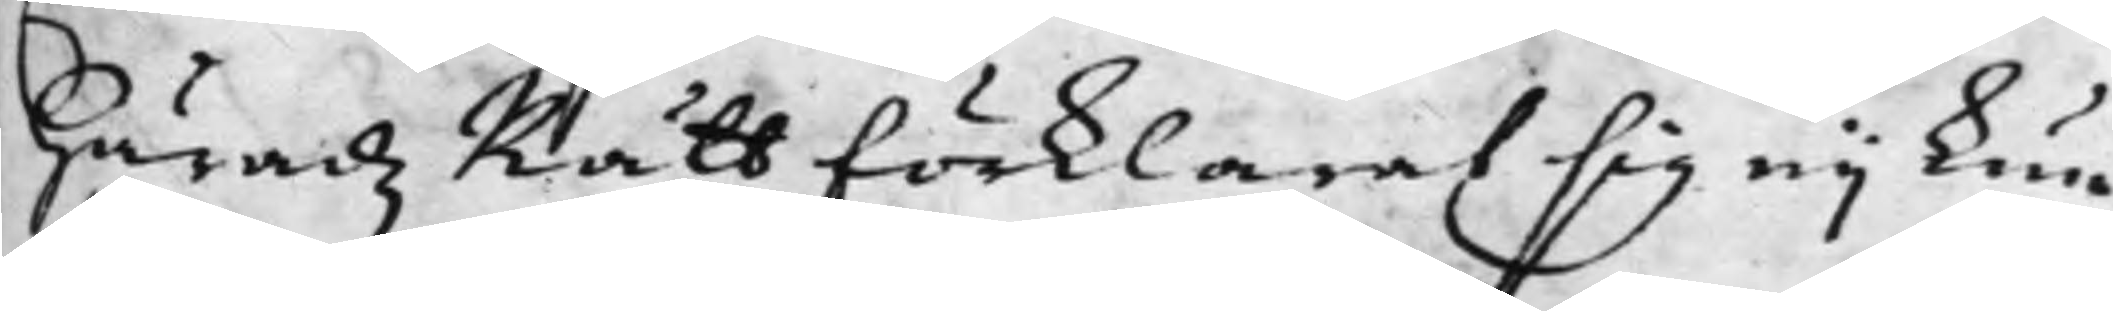HäradzRätt förklarat sig eij kun¬
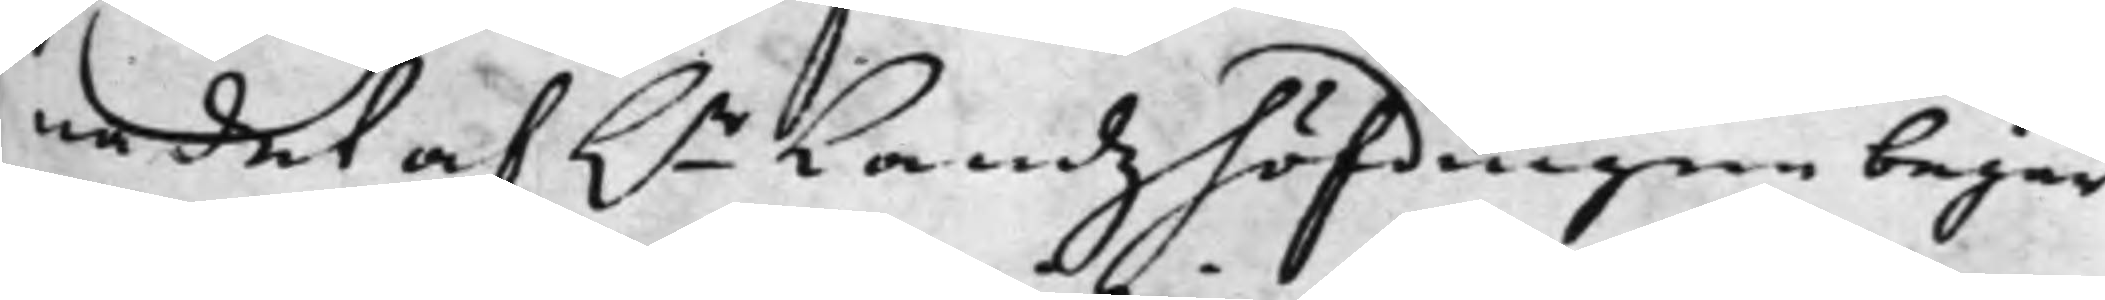na det af h.r Landzhöfdingen begär¬
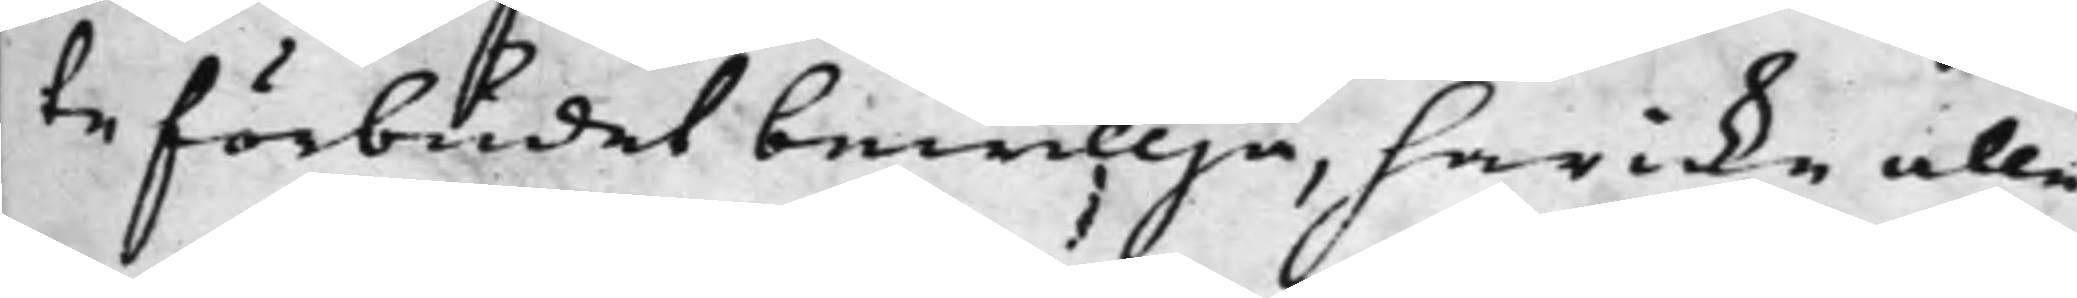te förbudet bewillja, har icke alle¬
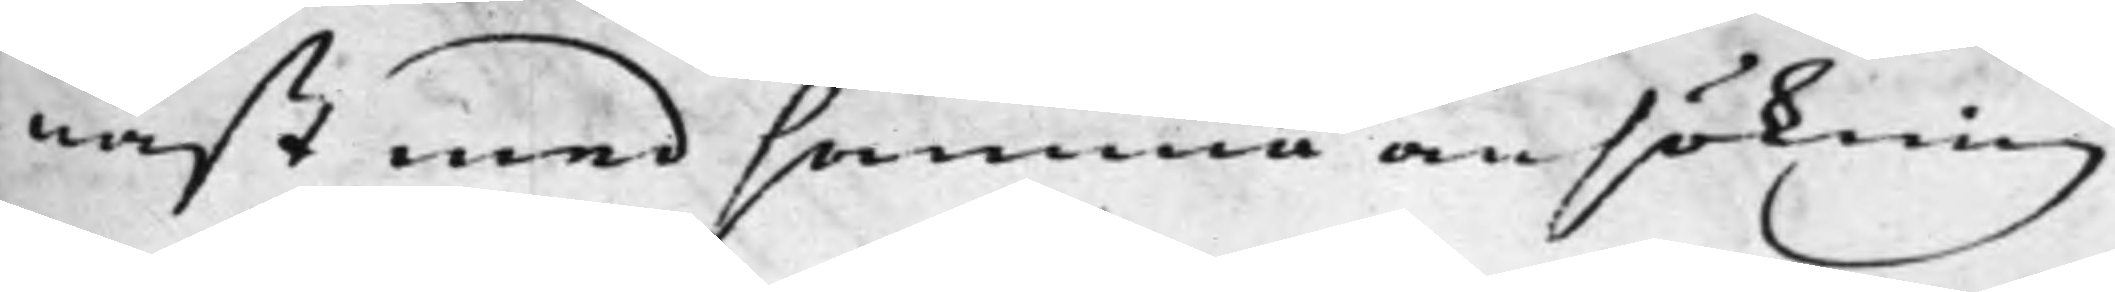nast med samma ansökning
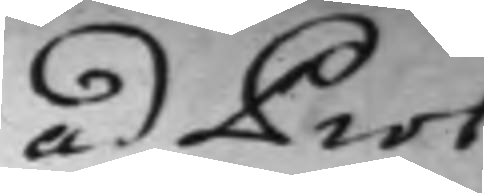ad Prot:
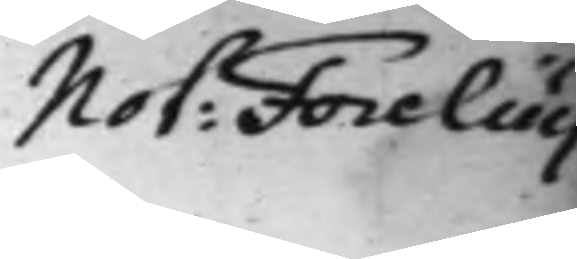Not: Forelius
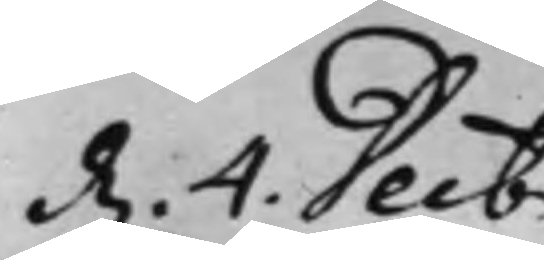d. 4. Decbr
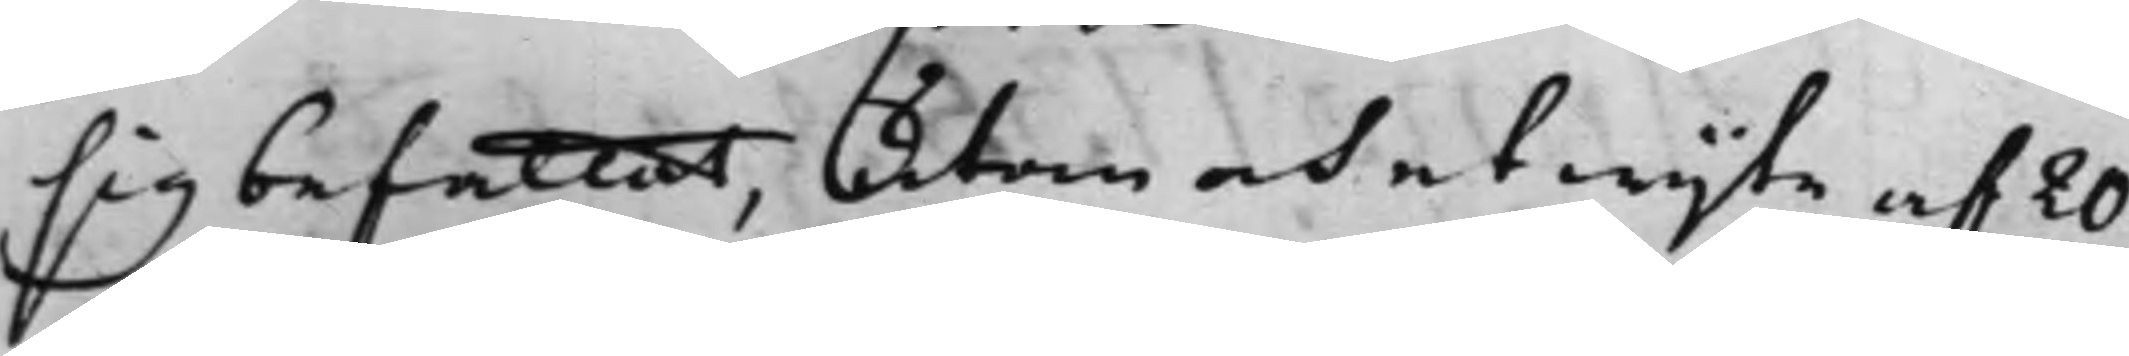sig befattat, utan och et wijte af 20
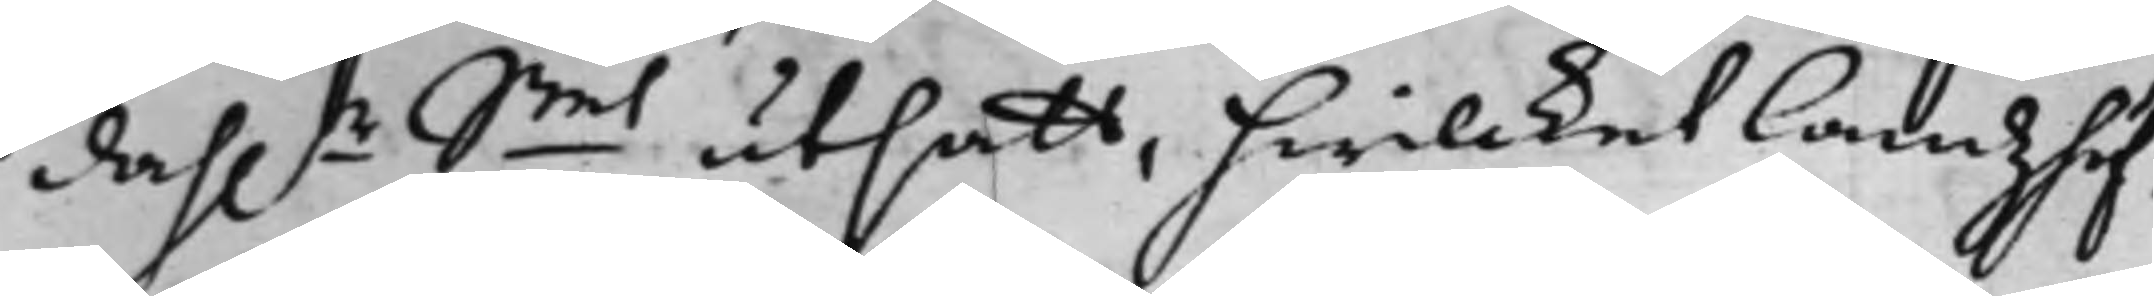dah.r Smt utsatt, hwilcket Landzhöf¬
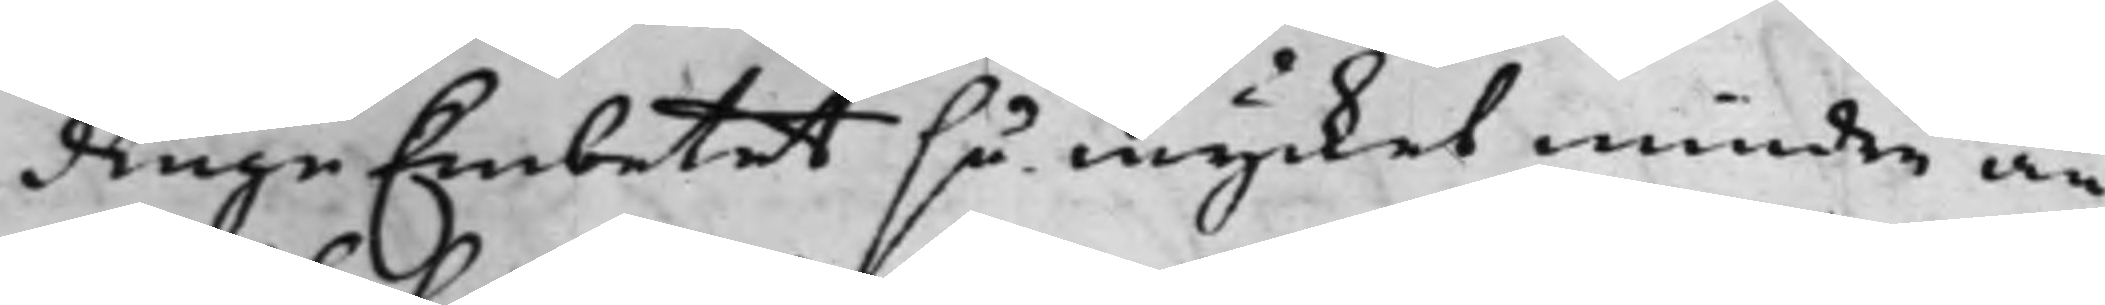dingeEmbetet så mycket mindre an¬
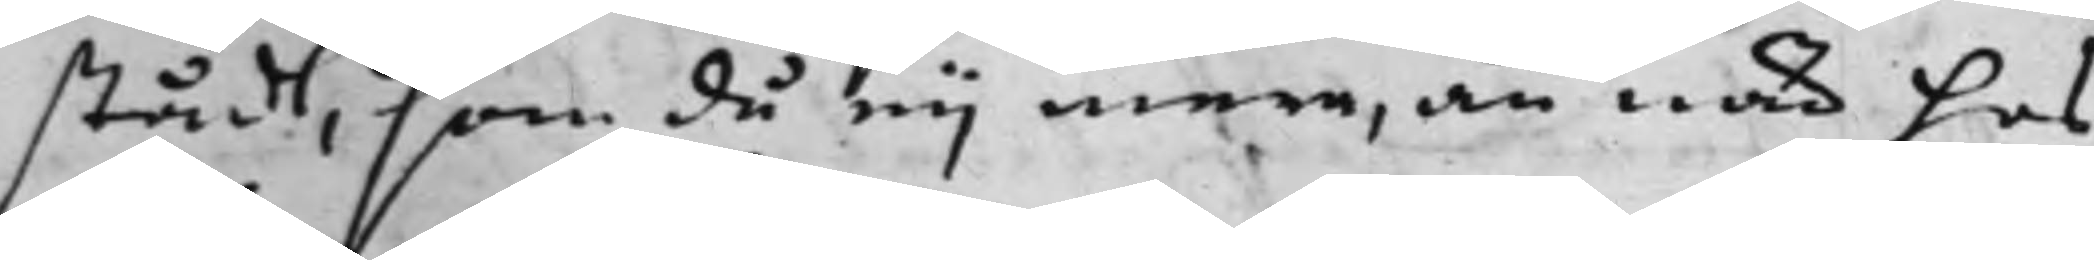stådt, som då eij mera, än när hos
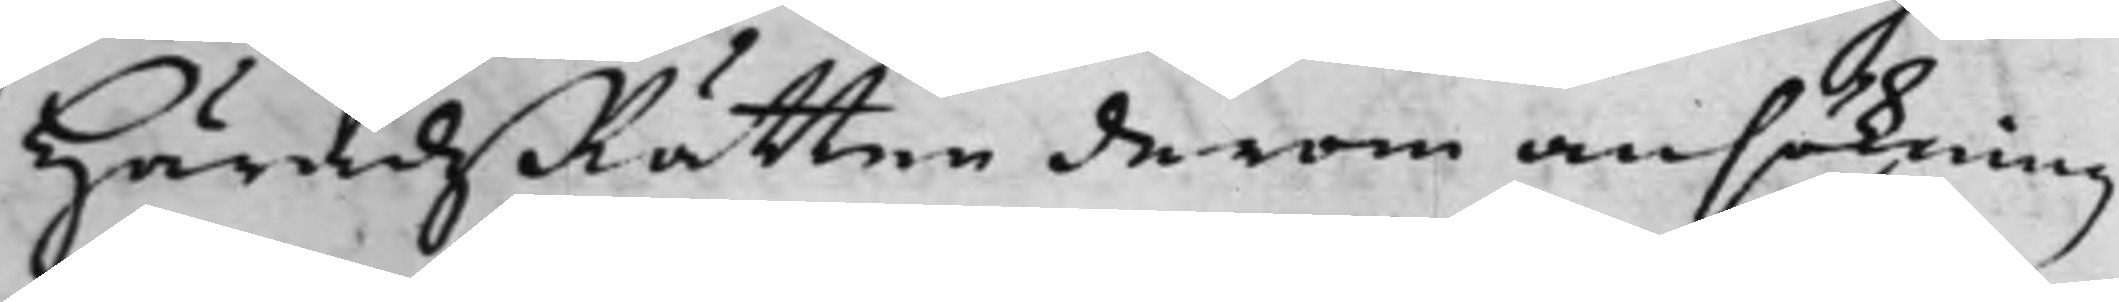HäradzRätten derom ansökning
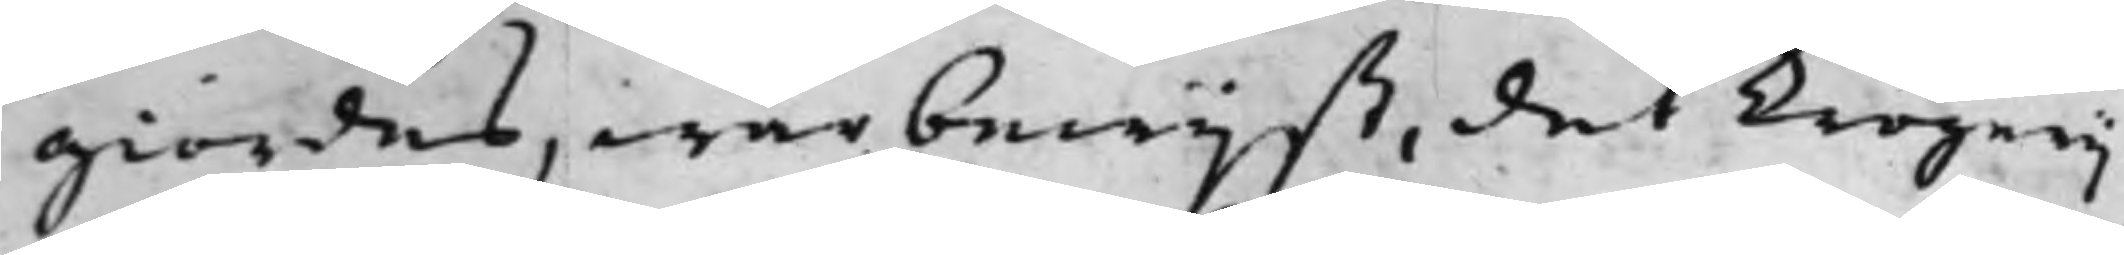giordes, war bewijst, det Krögerij
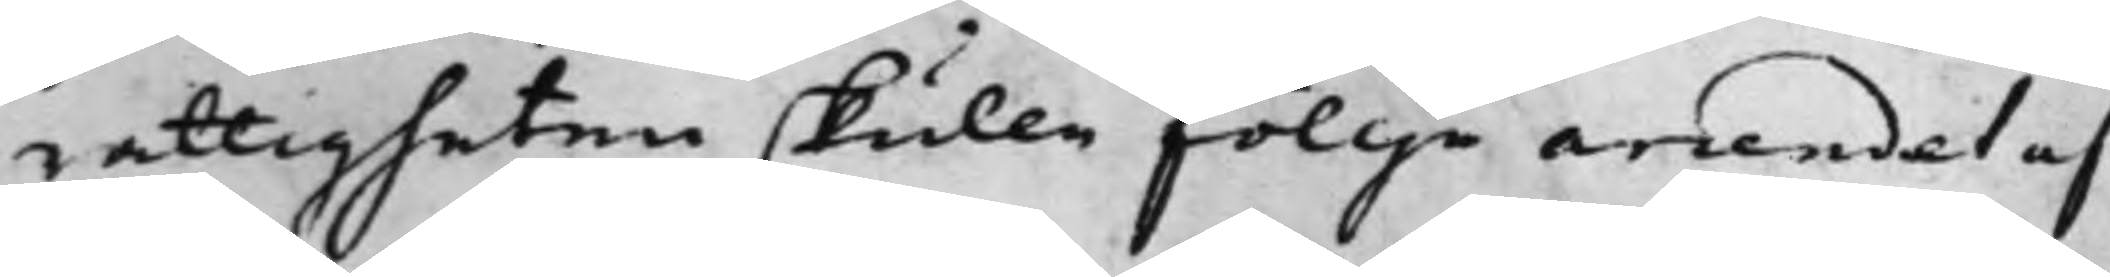rättigheten skulle föllje arrendet af
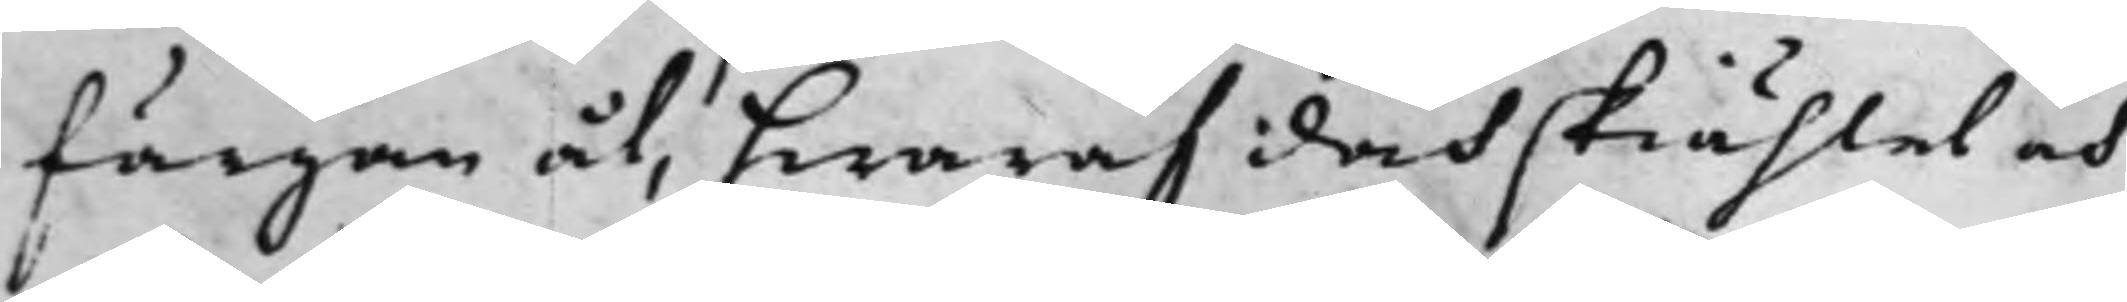färgan åt, hwaraf doch skiählet och
